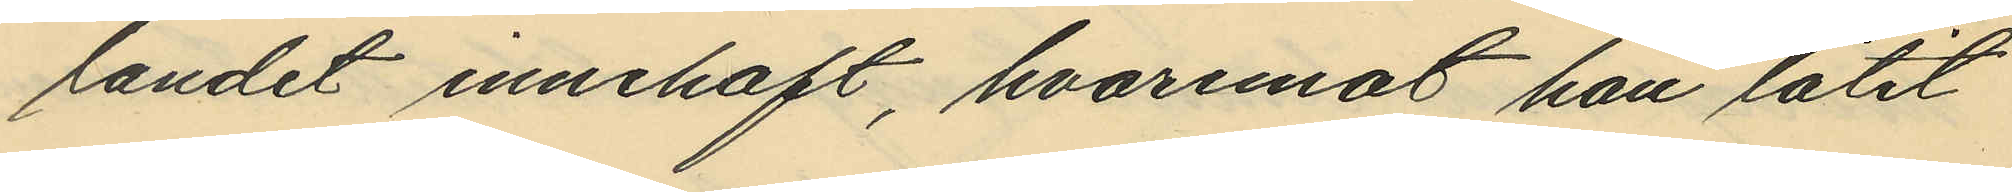landet innehaft, hvaremot han låtit
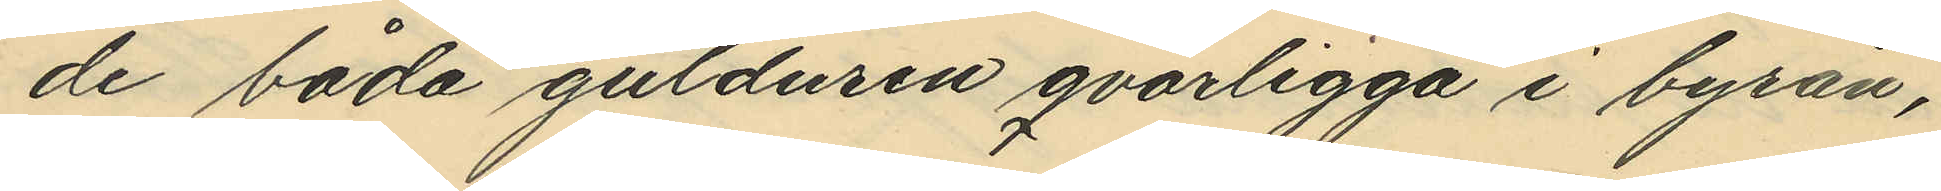de båda gulduren qvarligga i byrån,
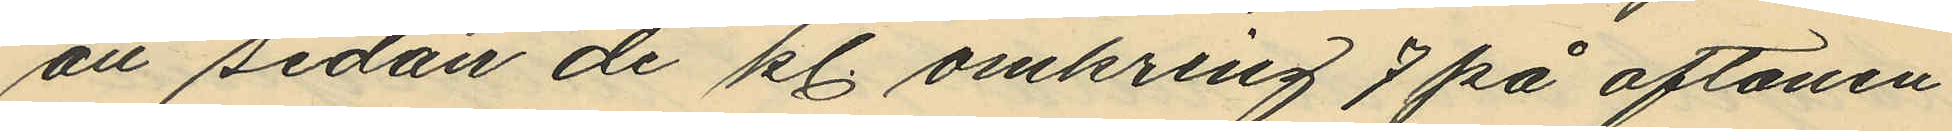att sedan de kl. omkring 7 på aftonen
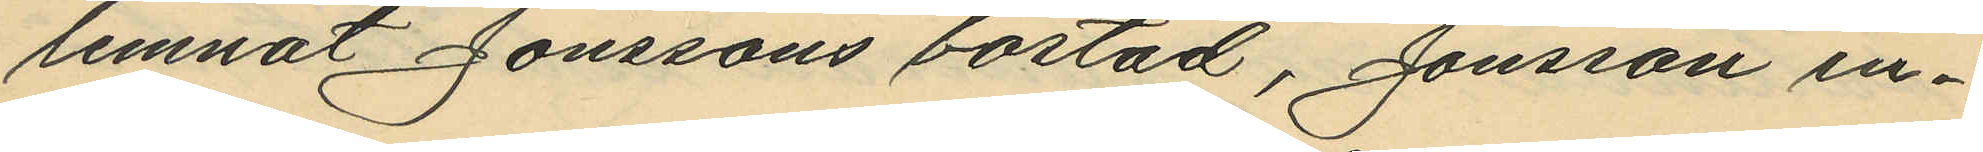lemnat Jonssons bostad, Jonsson in¬
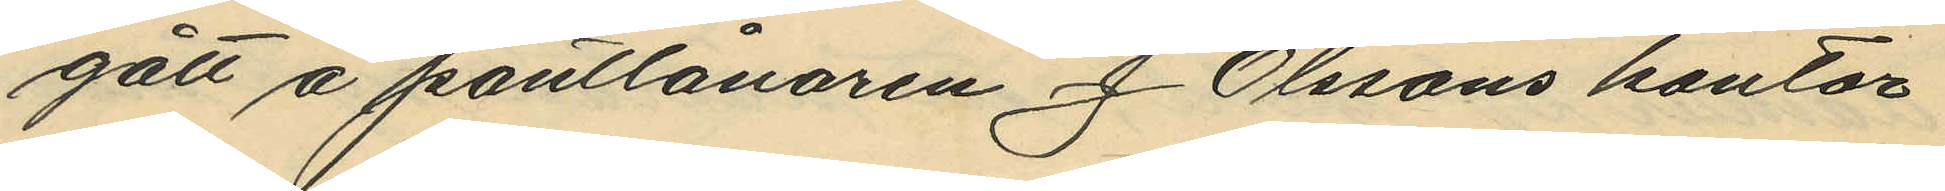gått å pantlånaren J. Olssons kontor
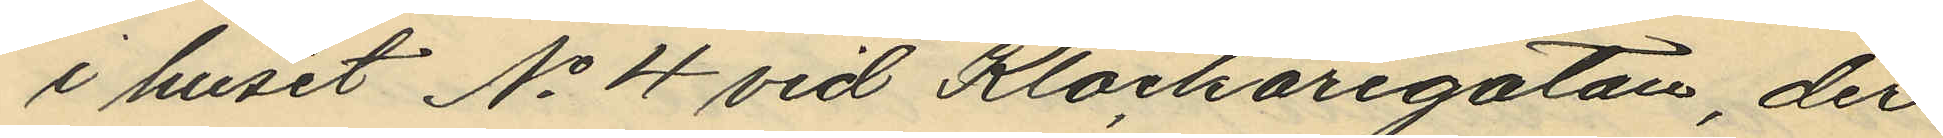i huset No 4 vid Klockaregatan, der
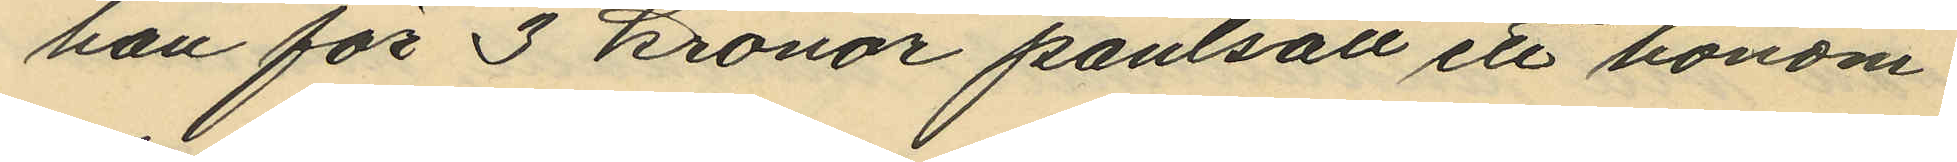han för 3 kronor pantsatt ett honom
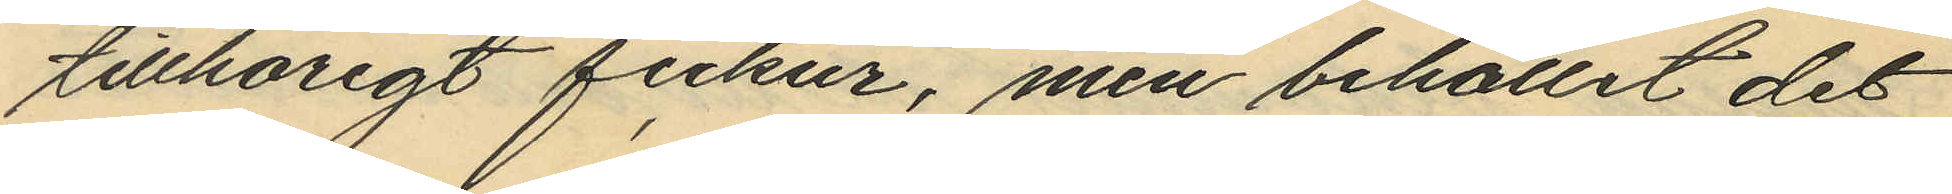tillhörigt fickur, men behållit det
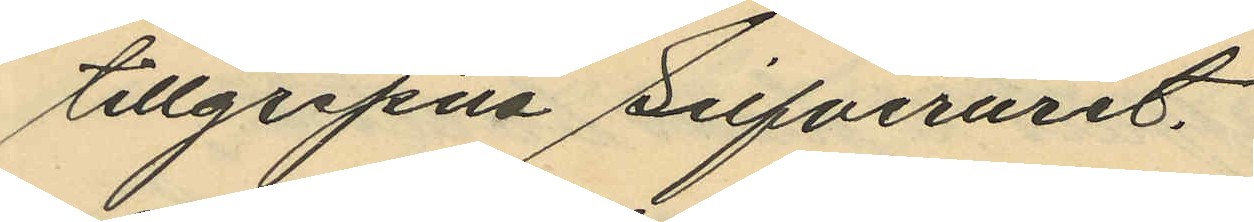tillgripna Silfveruret,
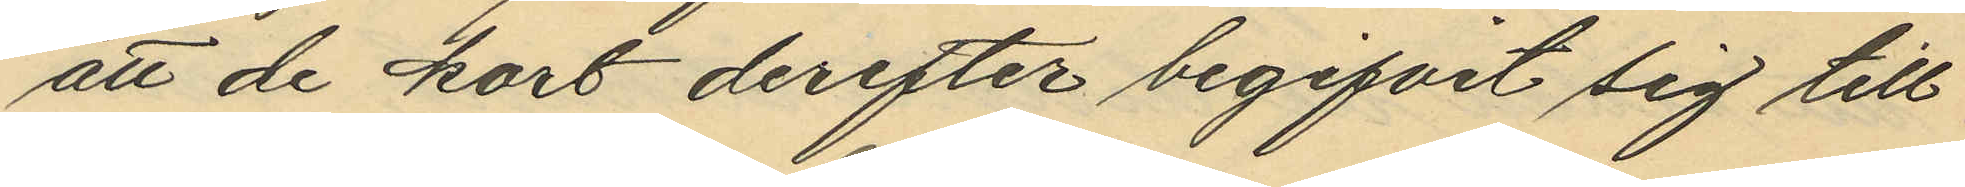att de kort derefter begifvit sig till
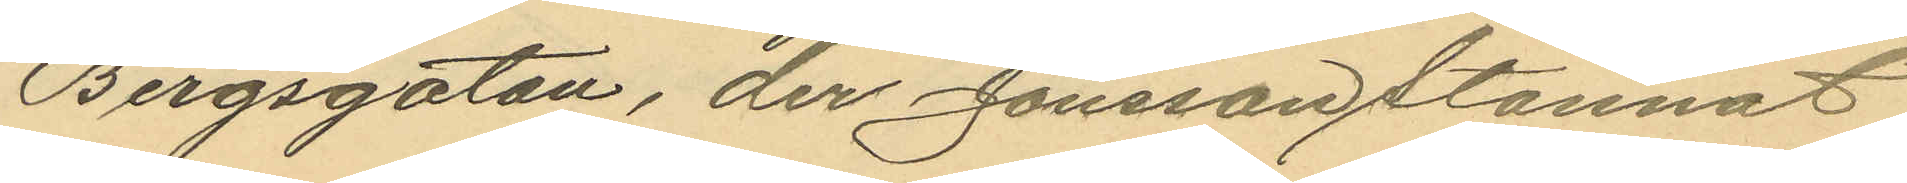Bergsgatan, der Jonsson stannat
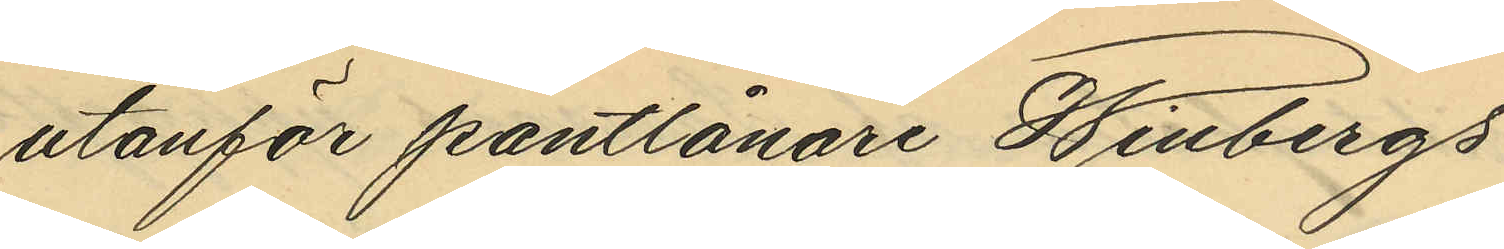utanför pantlånare Winbergs
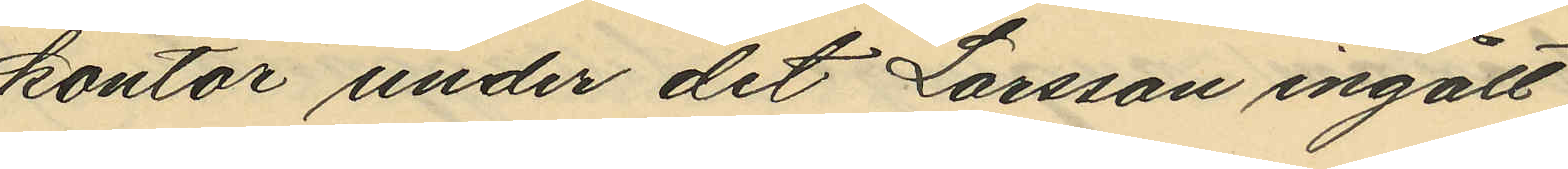kontor under det Larsson ingått
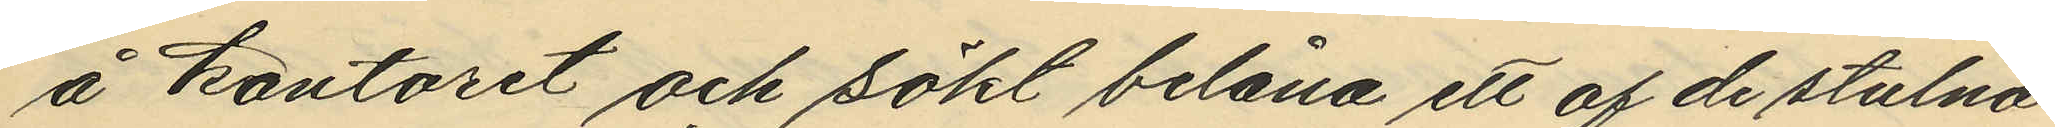å kontoret och sökt belåna ett af de stulna
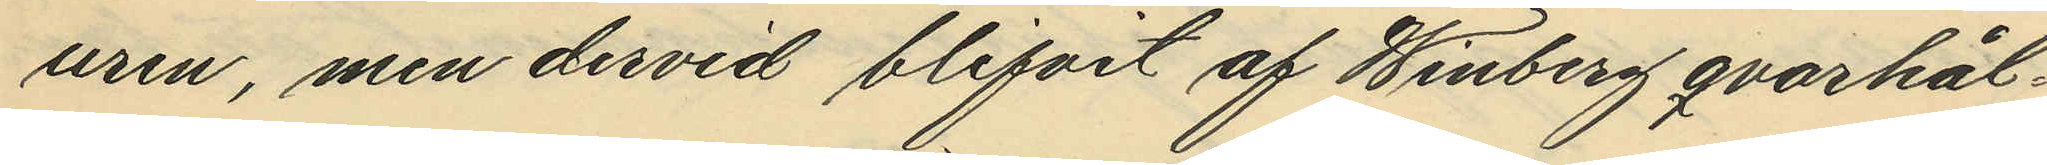uren, men dervid blifvit af Winberg qvarhål¬
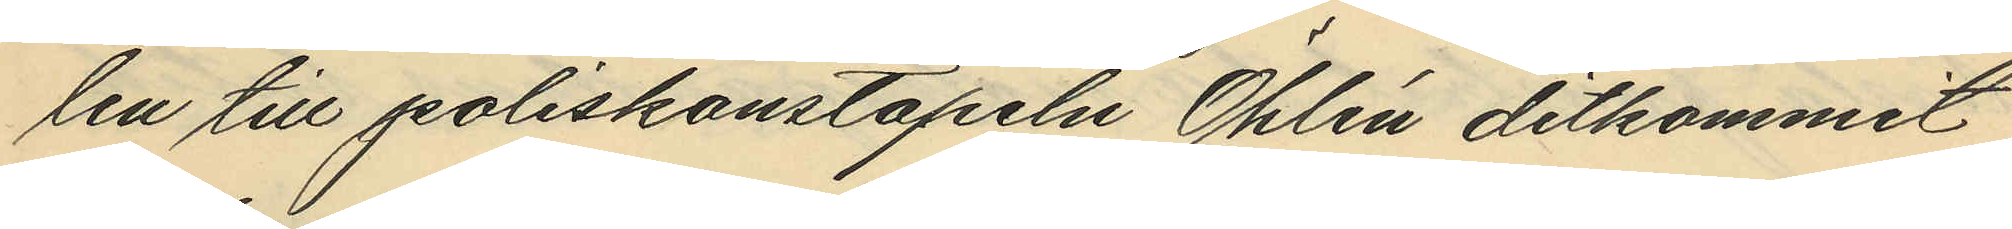len till poliskonstapeln Öhlén ditkommit
